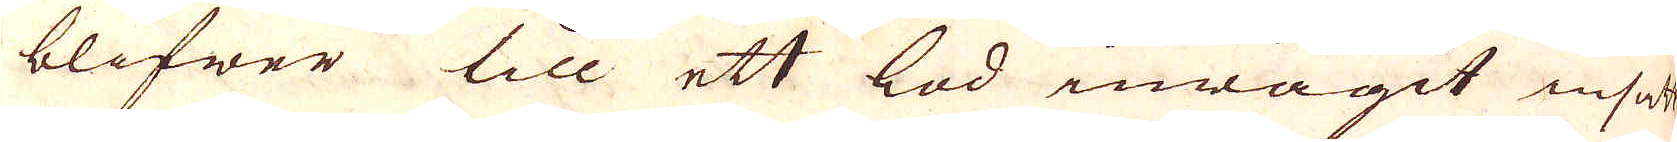blifwer till ett lod inwägit insatt
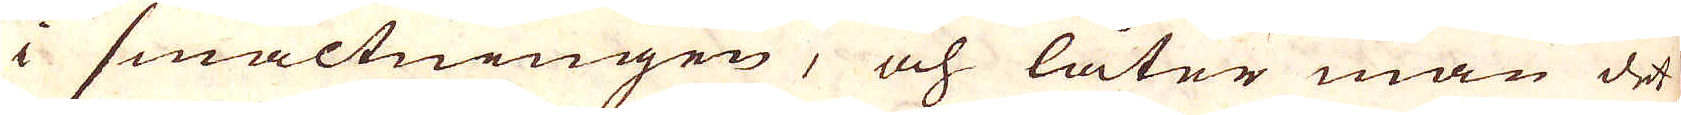i smältningen, och låter man det
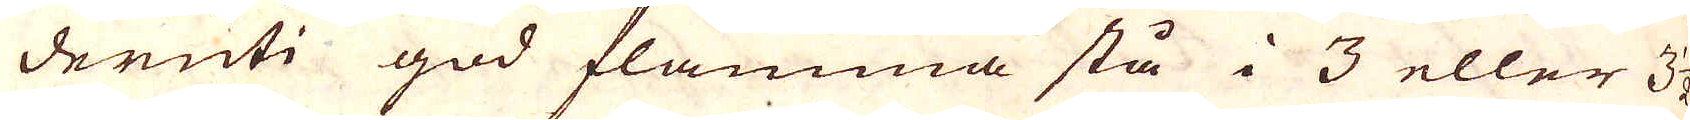deruti god flamma stå i 3 eller 3 1/2
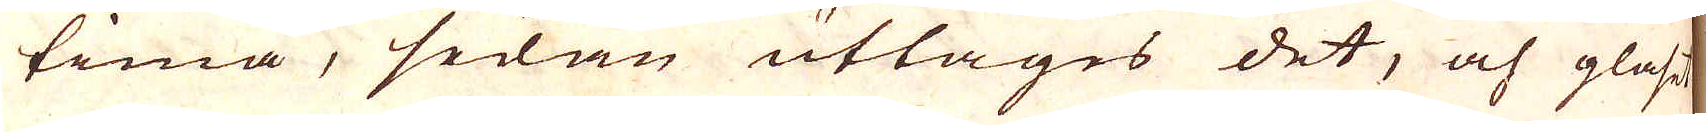tima, sedan uttages det, och glaset
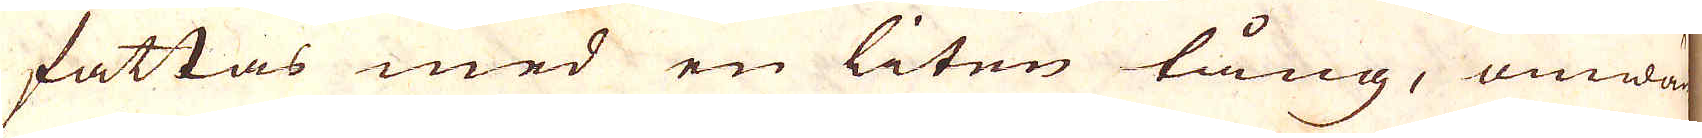fattas med en liten tång, omwän-
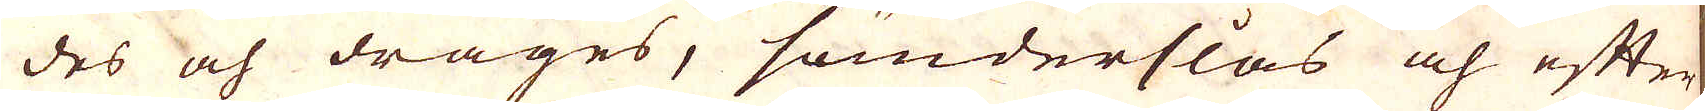des och drages, sönderslås och efter
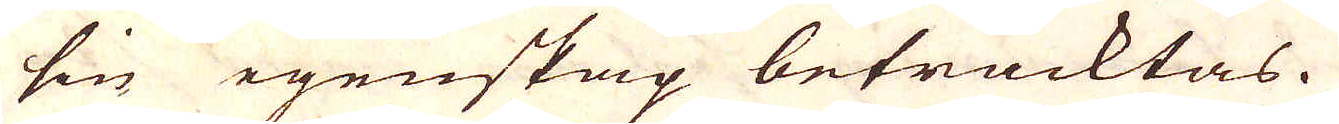sin egenskap betracktas.
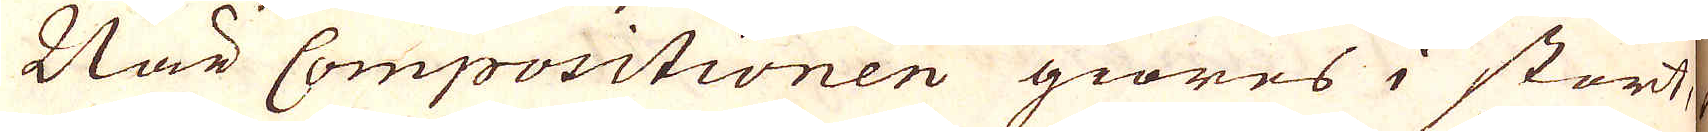När Compositionen giöres i stort,
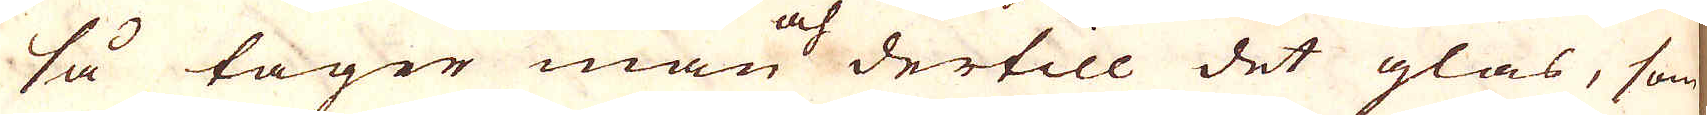så tager man dertill det glas, som
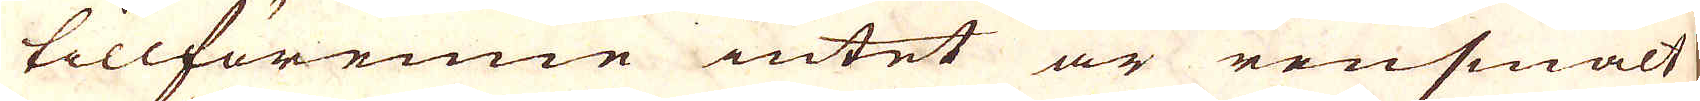tillförenne intet är rensmält
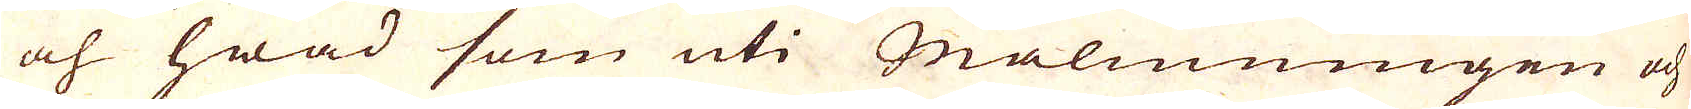oh hwad som uti Malmningen och
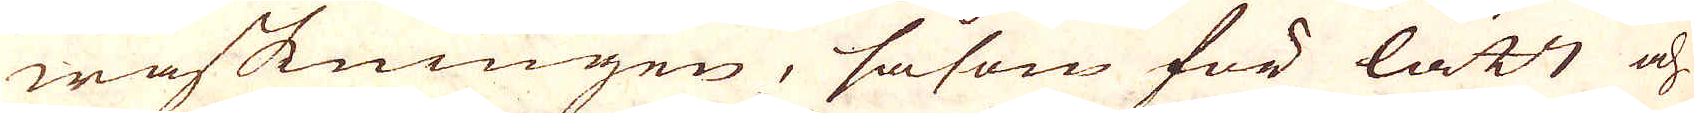waskningen, såsom för lätt och
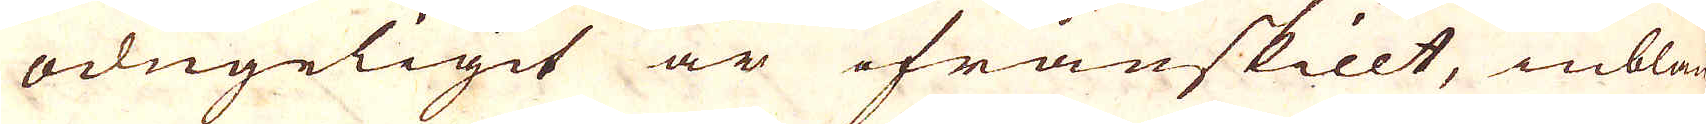odugeligit är ifrånskillt, inblan-
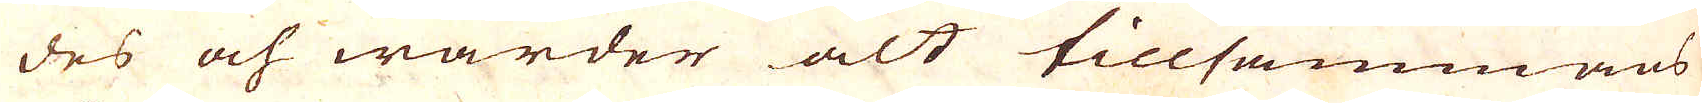des och warder alt tillsammans
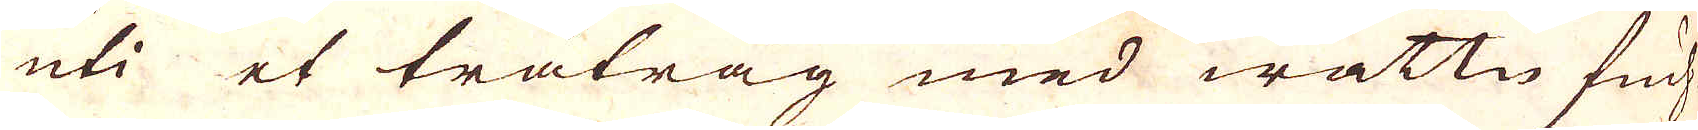uti et trätråg med wattn fuch-
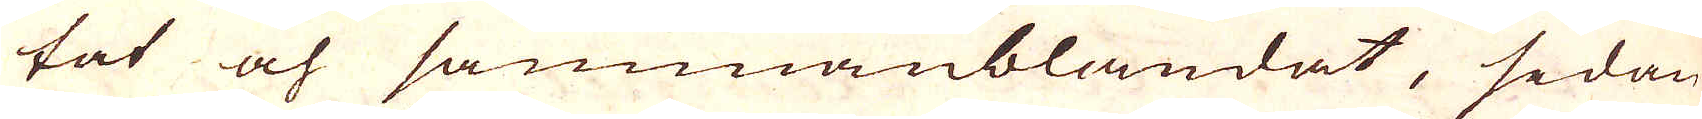tat och sammanblandat, sedan
